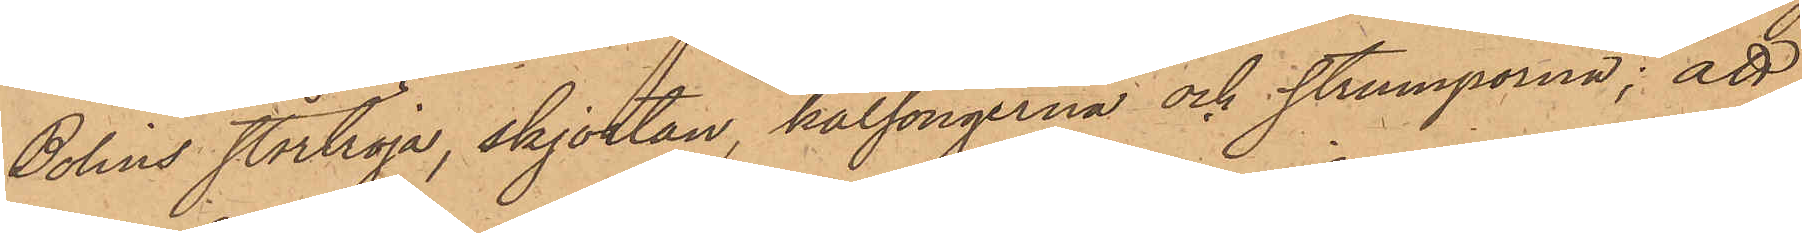Bolins stortröja, skjortan, kalsongerna och strumporna; att
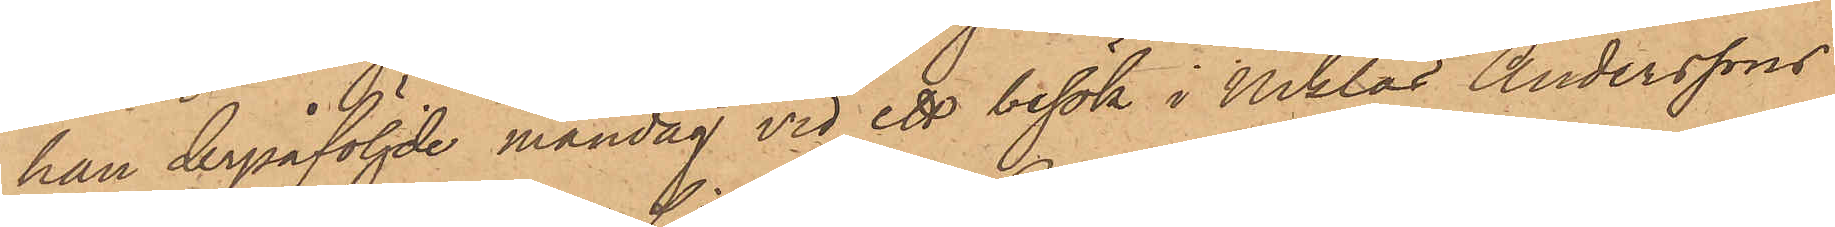han derpåföljde måndag vid ett besök i Niklas Anderssons
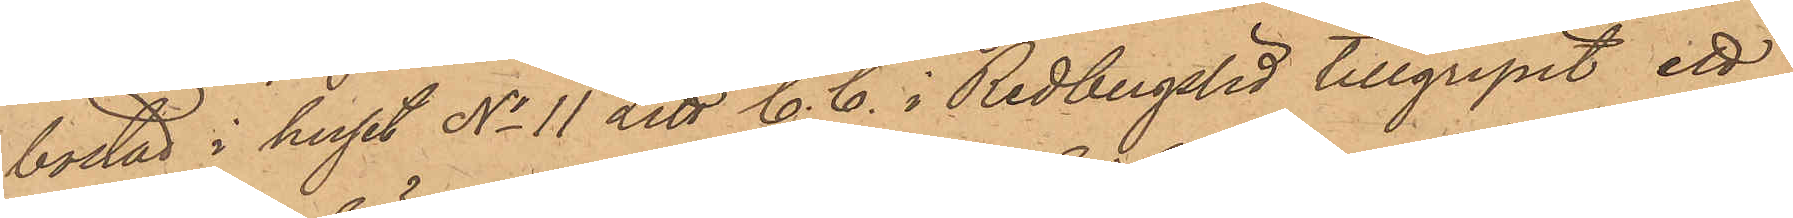bostad i huset No 11 Litt C. C. i Redbergslid tillgripit ett
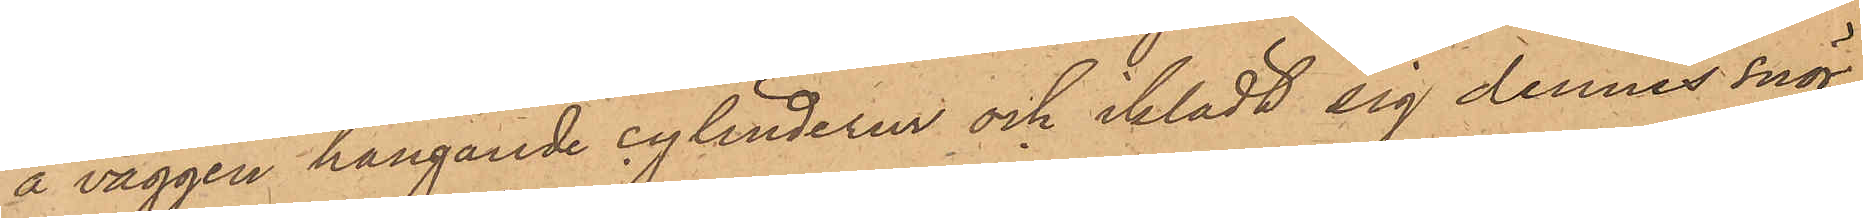å väggen hängande cylinderur och iklädt sig dennes snör¬
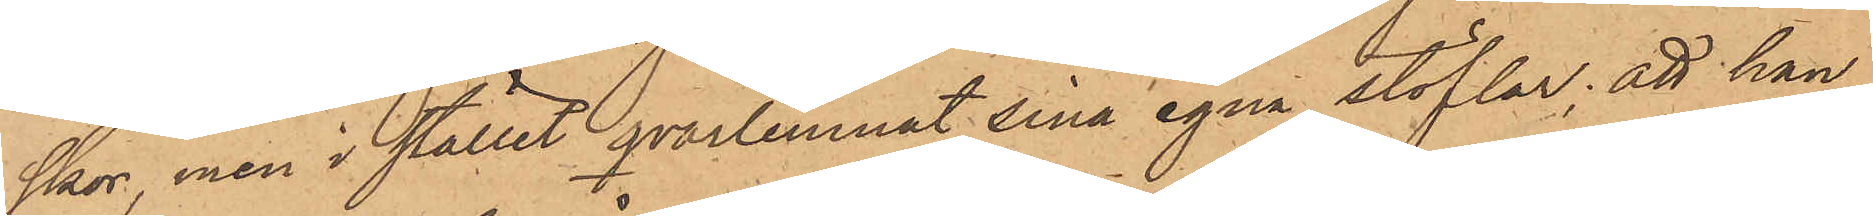skor, men i stället qvarlemnat sina egna stöflar; att han
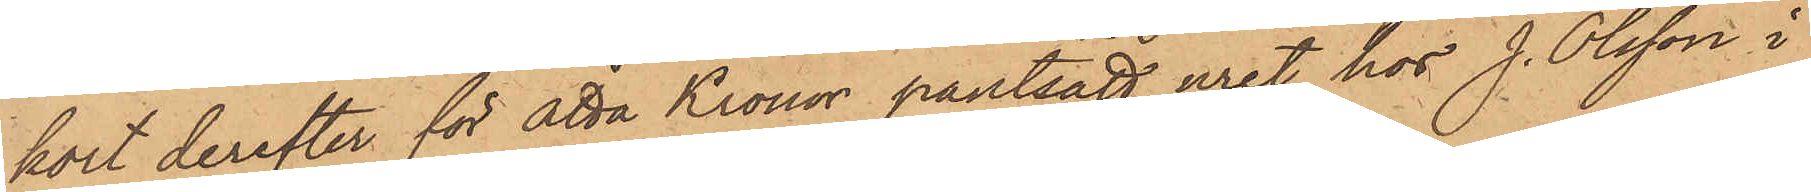kort derefter för åtta Kronor pantsatt uret hos J. Olsson i
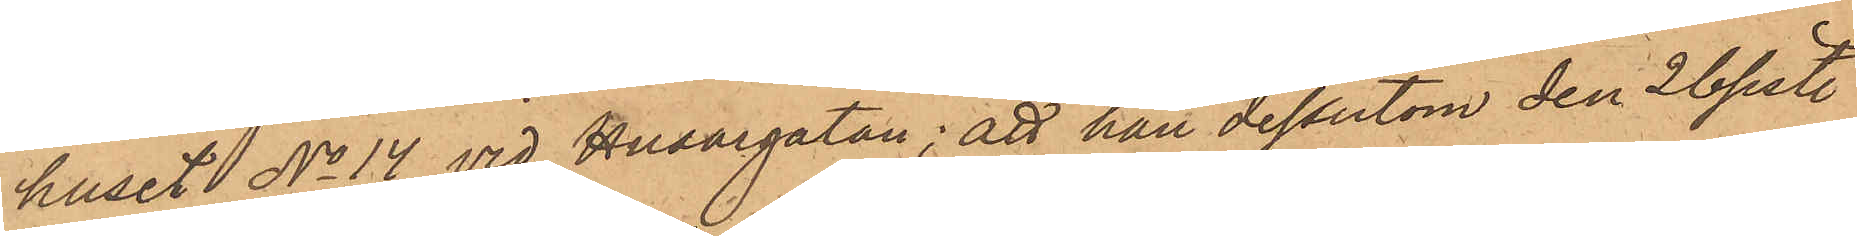huset No 14 vid Husargatan; att han dessutom den 26 sistl.
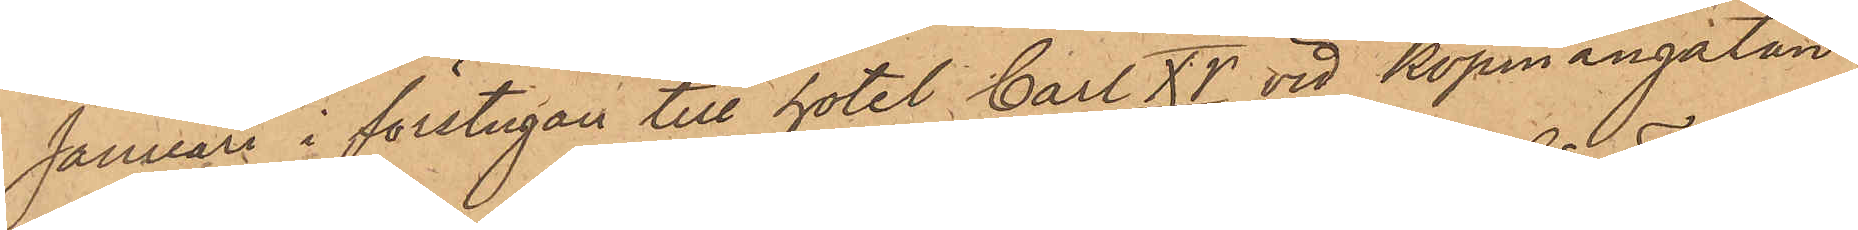Januari i förstugan till hotel Carl XV vid Köpmangatan
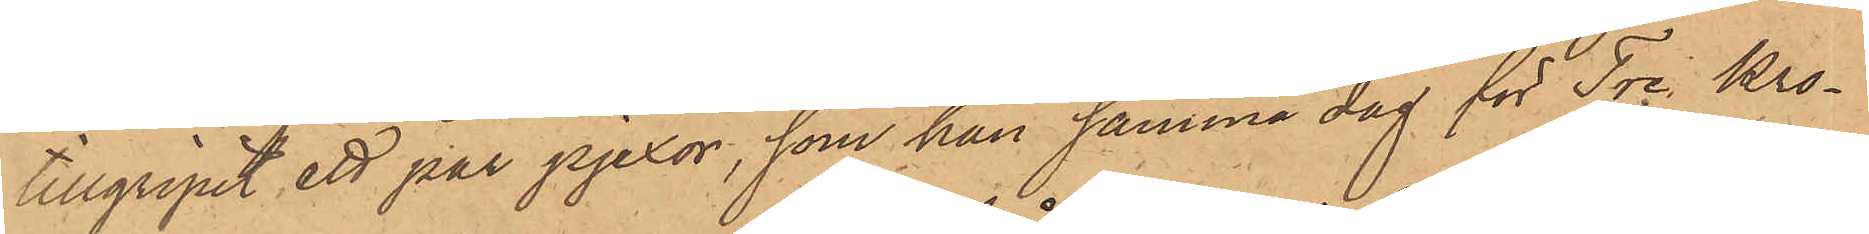tillgripit ett par pjexor, som han samma dag för Tre Kro¬
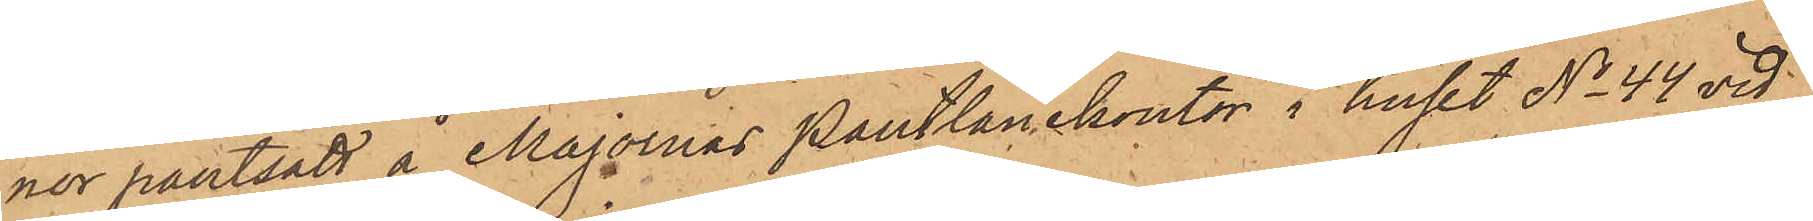nor pantsatt å Majornas Pantlånekontor i huset No 44 vid
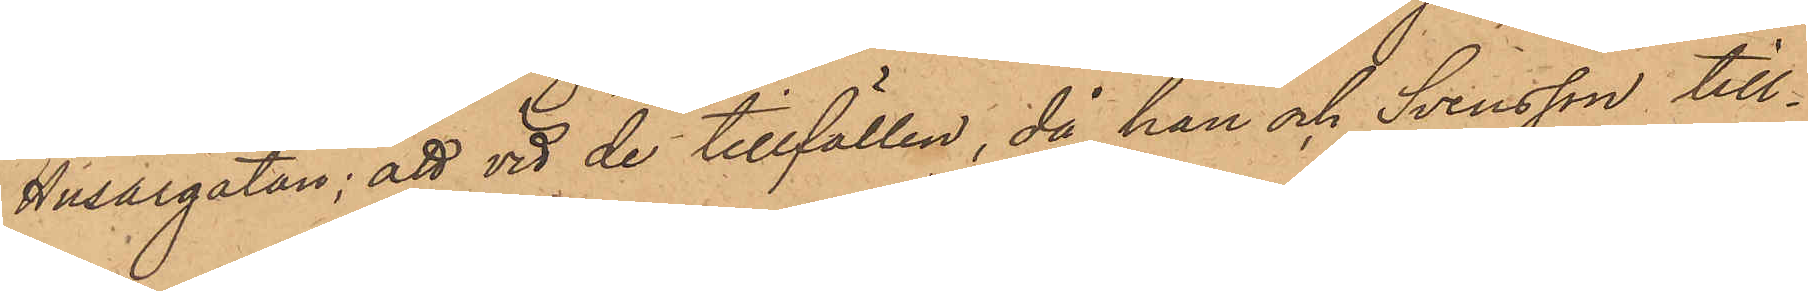Husargatan; att vid de tillfällen, då han och Svensson till¬
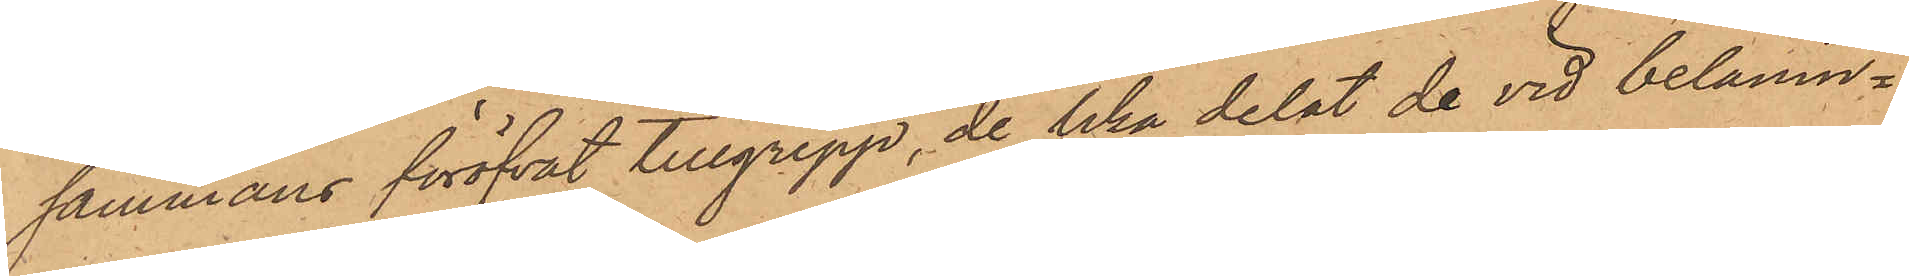sammans föröfvat tillgrepp, de lika delat de vid belånin¬
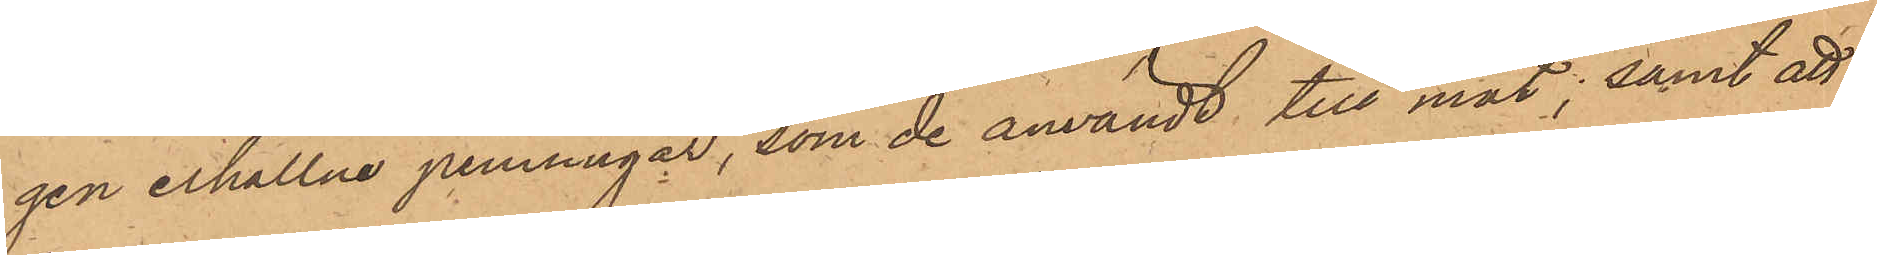gen erhållne penningar, som de användt till mat; samt att
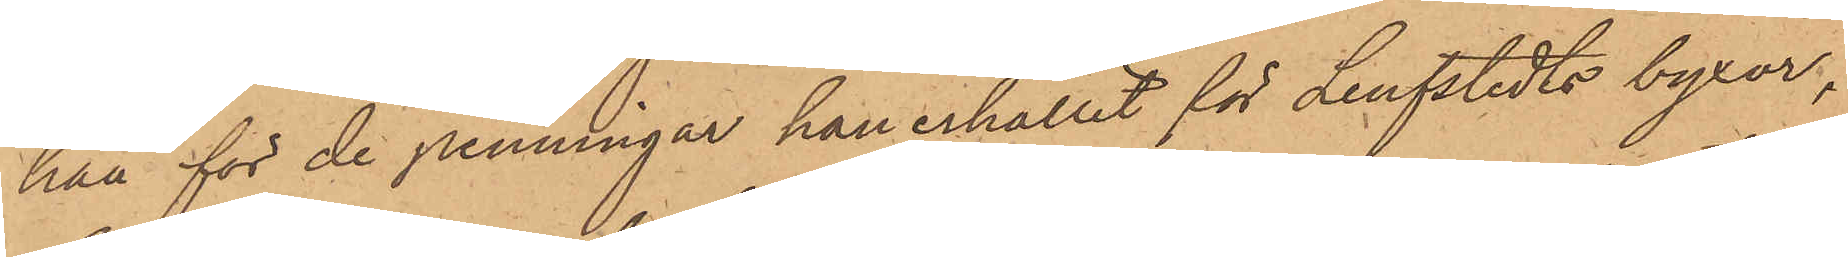han för de penningar han erhållit för Lindstedts byxor,
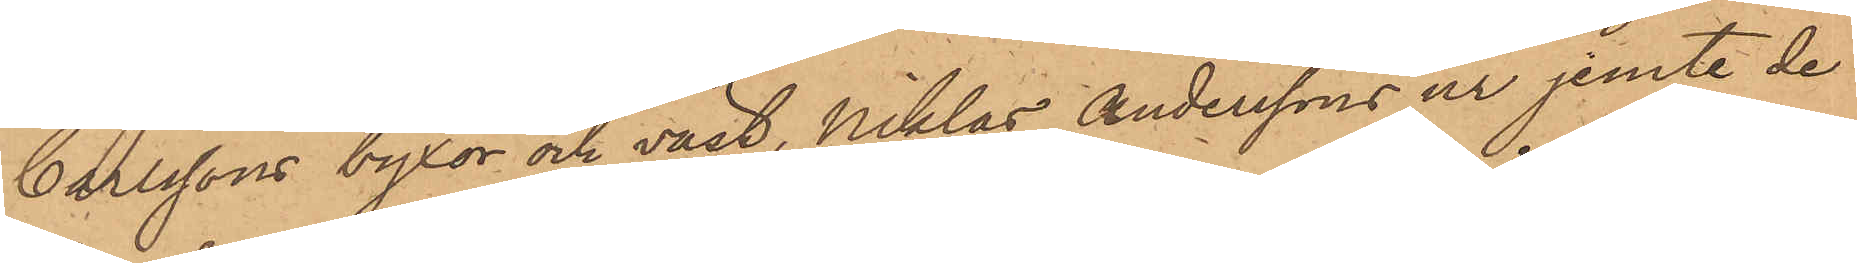Carlssons byxor och väst, Niklas Anderssons ur jemte de
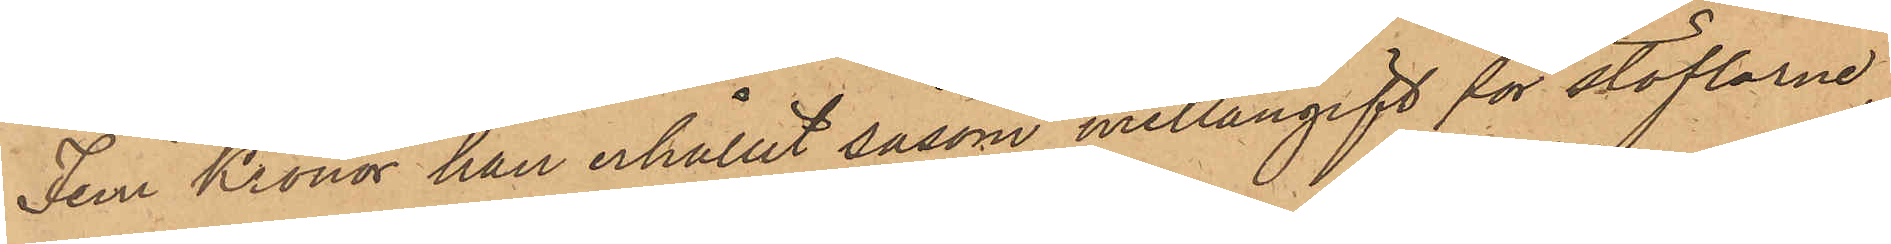Fem Kronor han erhållit såsom mellangift för stöflarne,
